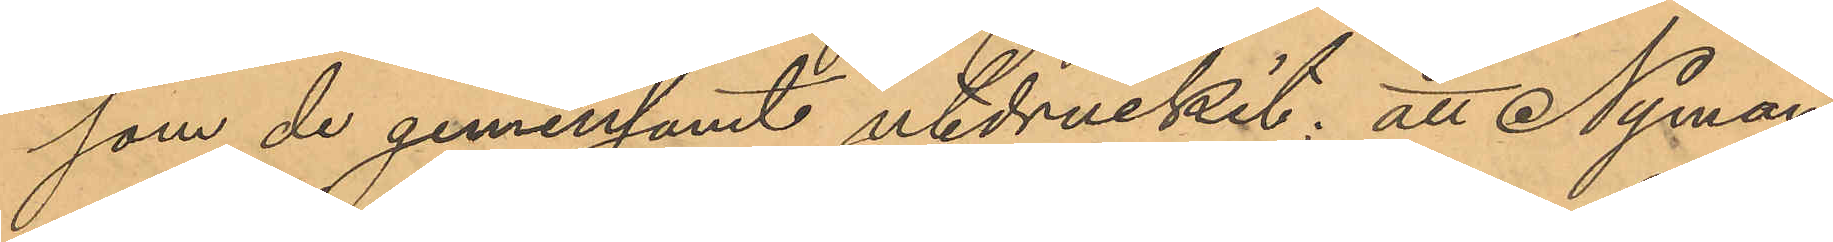som de gemensamt utdruckit; att Nyman
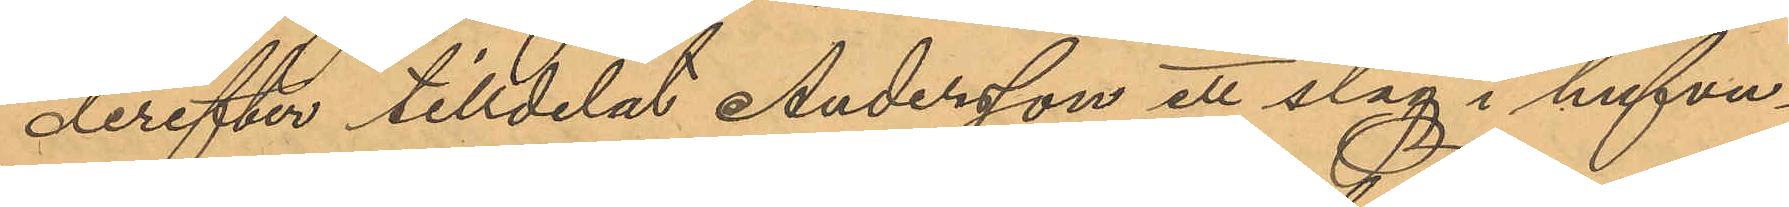derefter tilldelat Andersson ett slag i hufvu¬
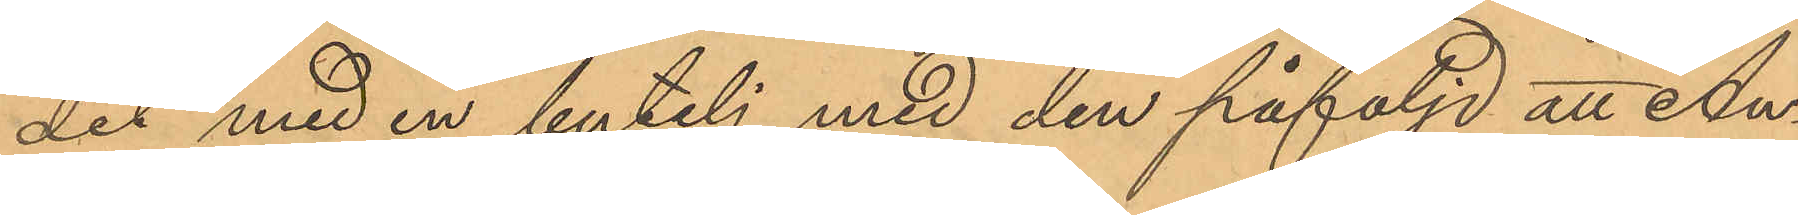det med en butelj med den påföljd att An¬
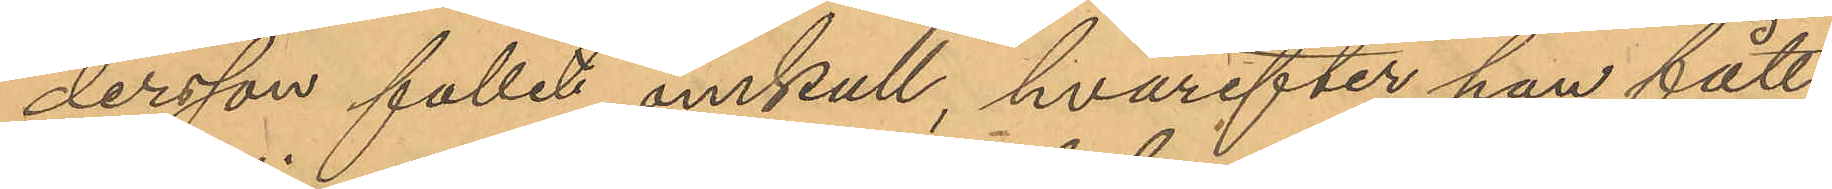dersson fallit omkull, hvarefter han fått
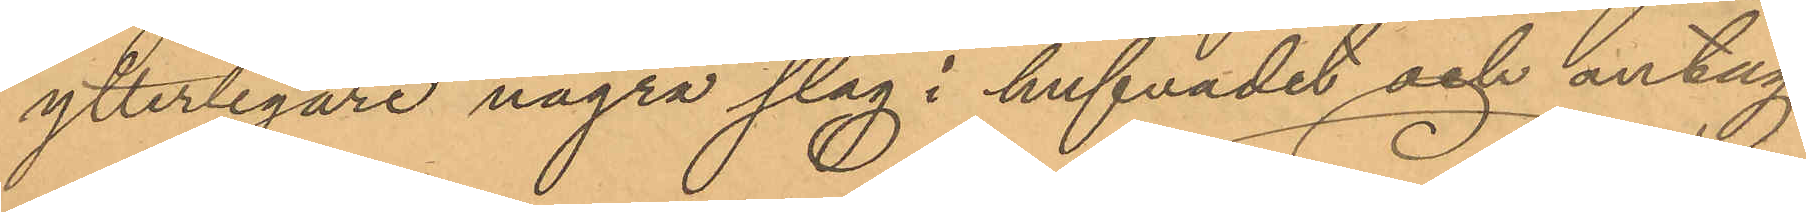ytterligare några slag i hufvudet och antag¬
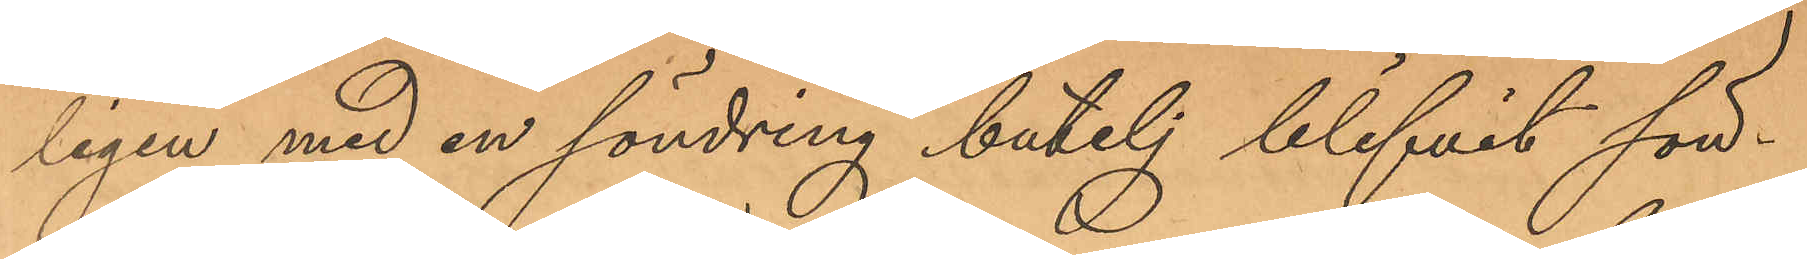ligen med en söndring butelj blifvit sön¬
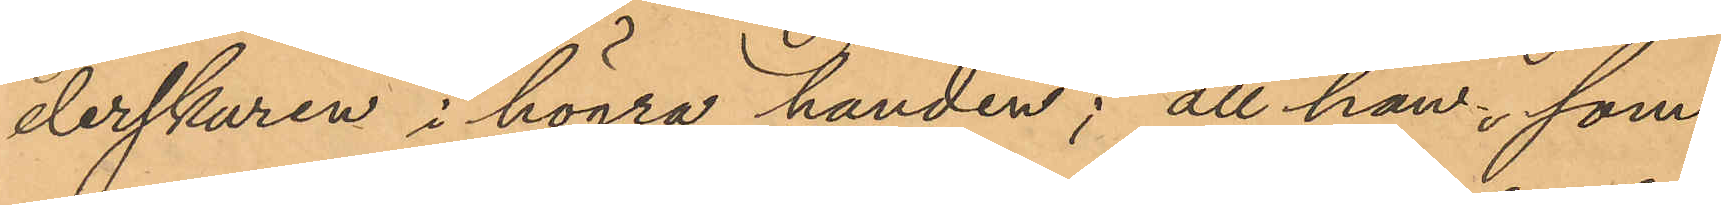derskuren i högra handen; att han, som
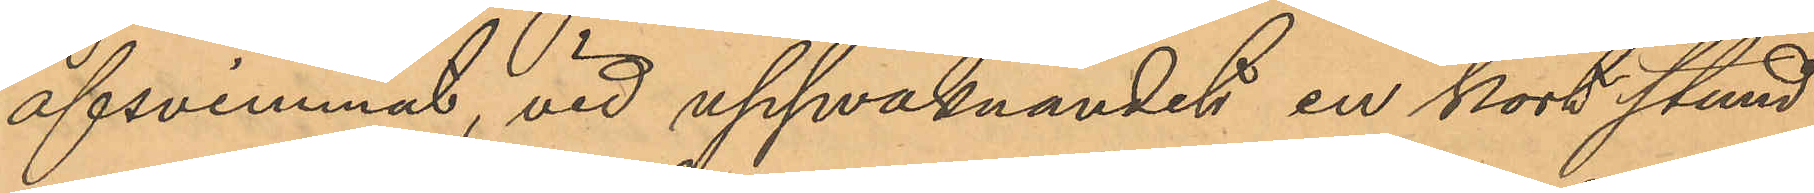afsvimmat, vid uppvaknandet en kort stund
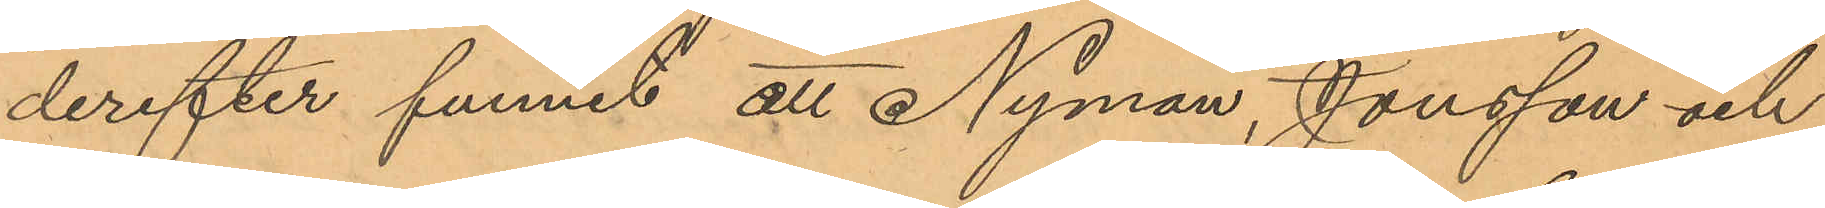derefter funnit att Nyman, Jonsson och
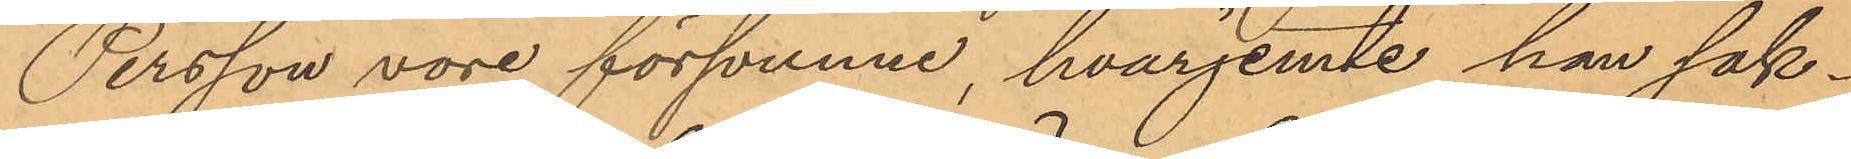Persson vore försvunne, hvarjemte han sak¬
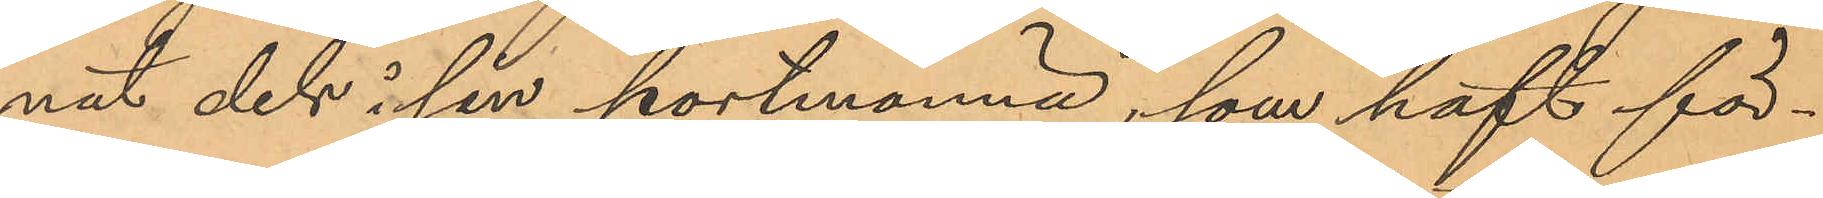nat dels i sin portmonnä, som haft för¬
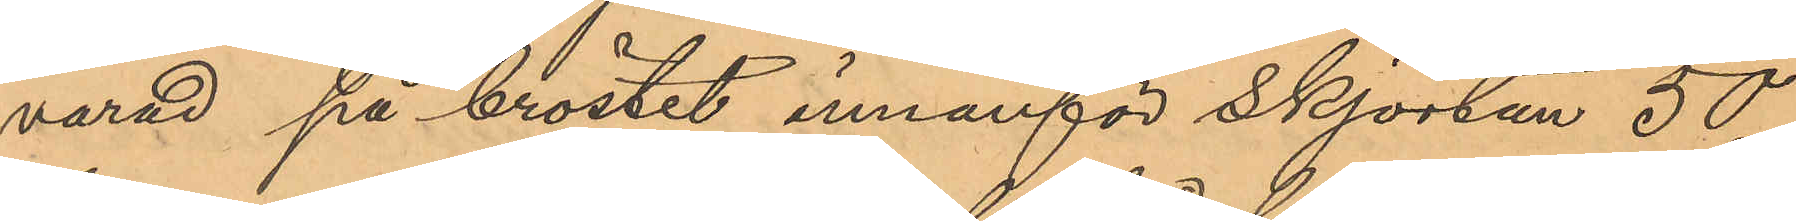varad på bröstet innanför Skjortan 50
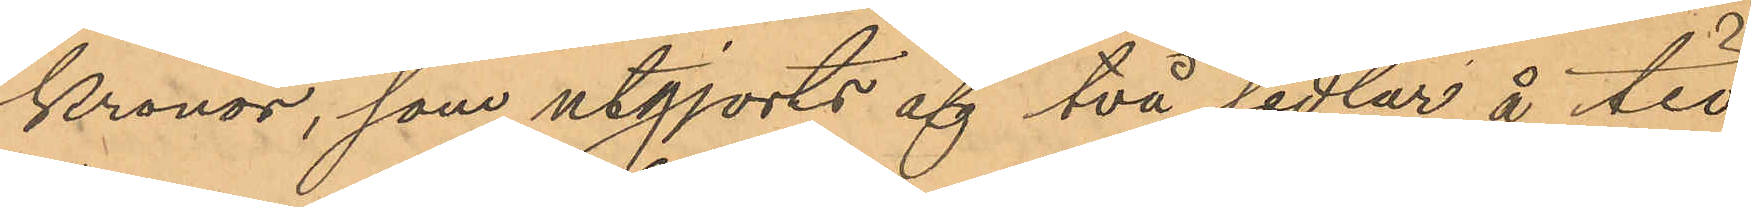kronor, som utgjorts af två sedlar å tio
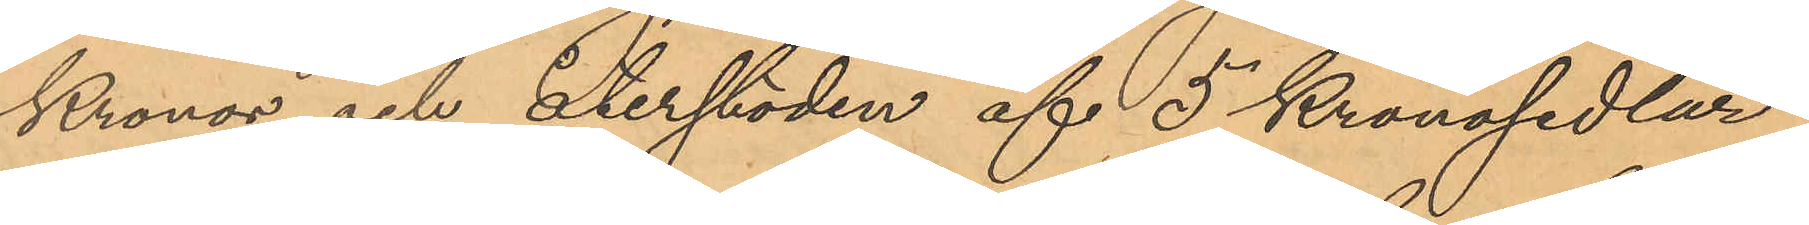Kronor och återstoden af 5 Kronosedlar
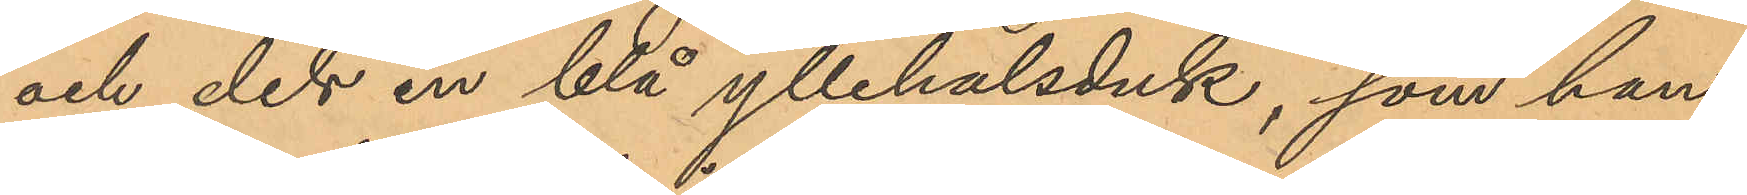och dels en blå yllehalsduk, som han
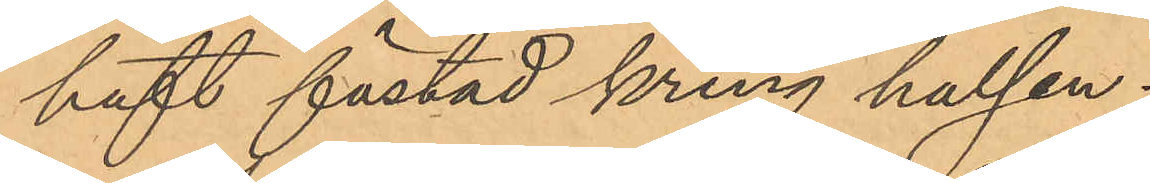haft fästad kring halsen.
